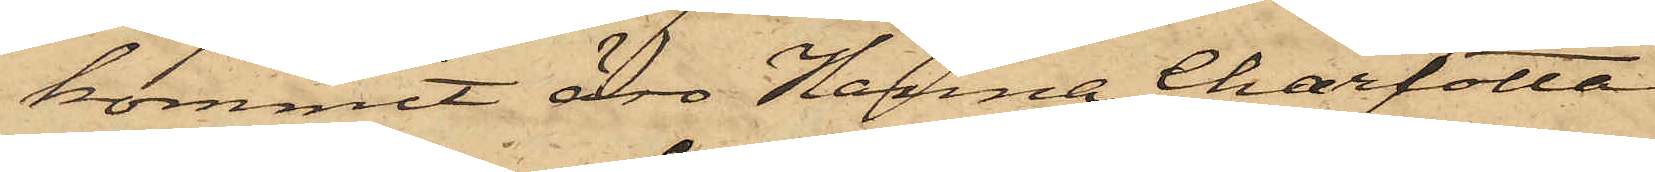kommit äro Hanna Charlotta
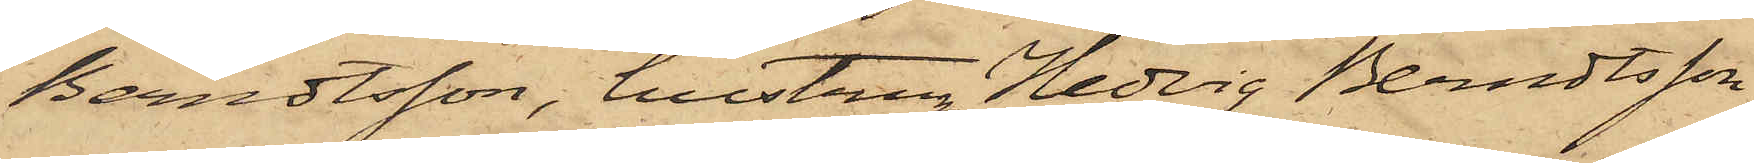Berndtsson, hustru Hedvig Berndtsson
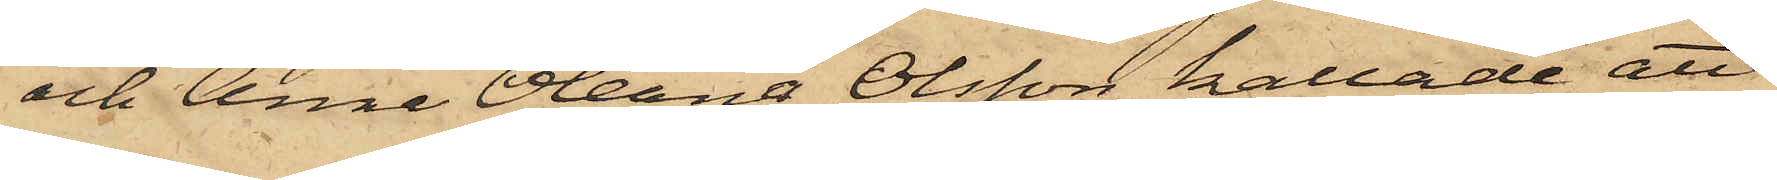och Anna Oleana Olsson kallade att
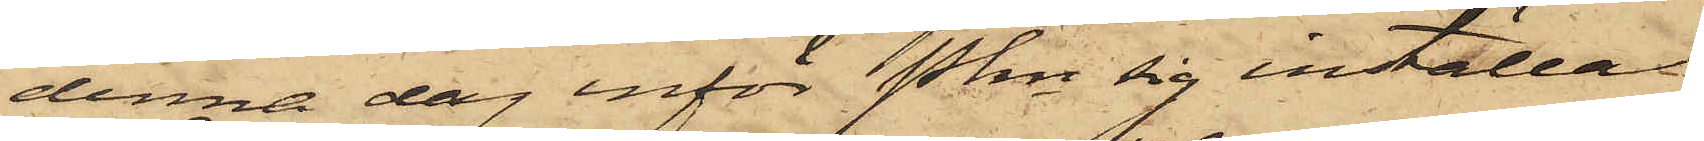denna dag inför Pkn sig inställa.
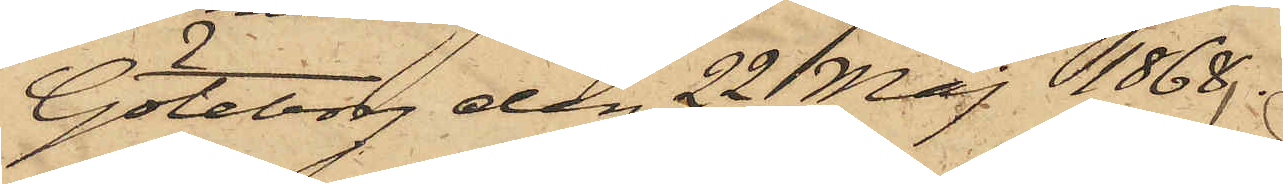Göteborg den 22 Maj 1868.
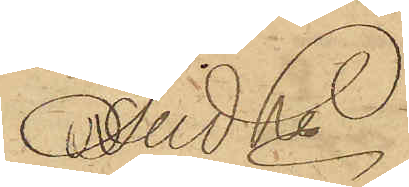And Ln
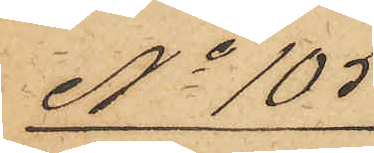No 105
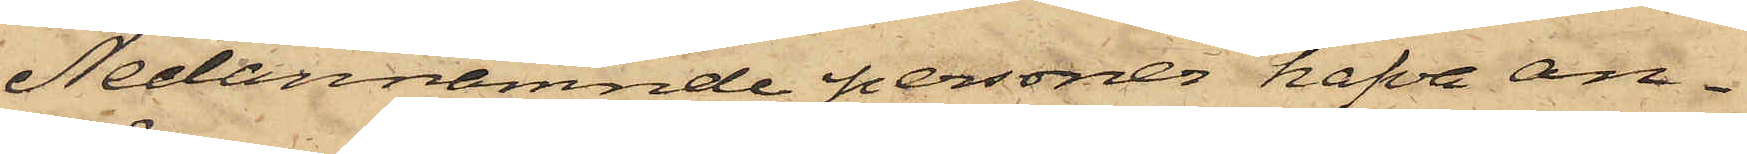Nedannämnde personer hafva an¬
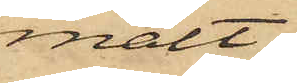mält:
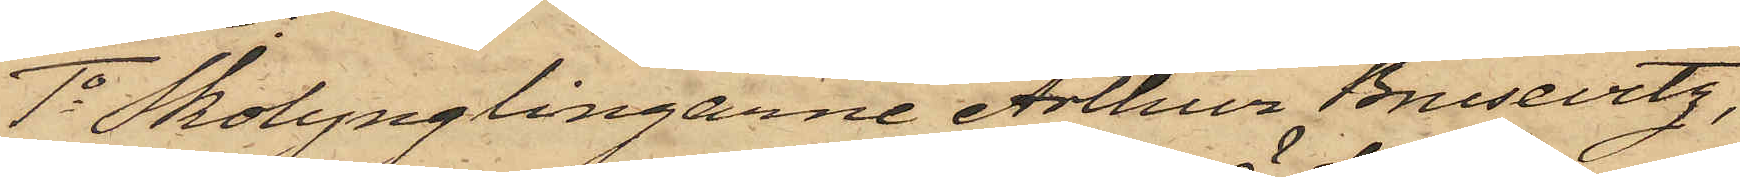1o Skolynglingarne Arthur Brusevitz,
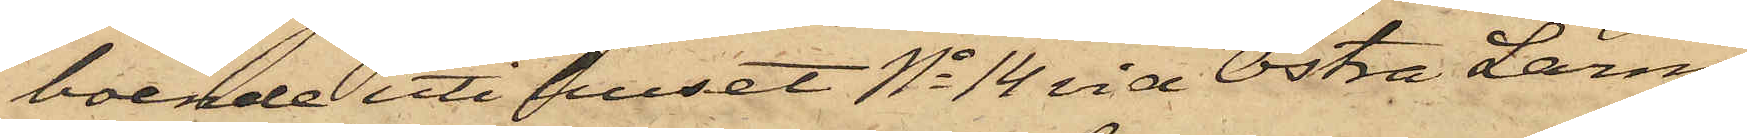boende uti huset No 14 vid Östra Larm¬
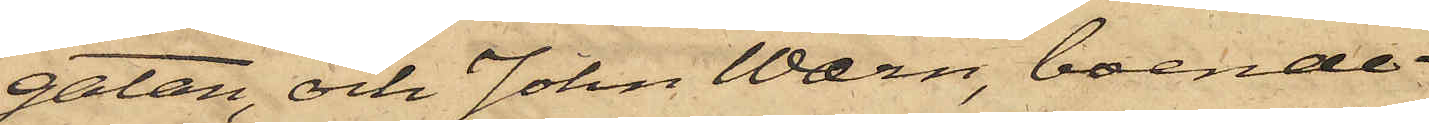gatan, och John Wærn, boende
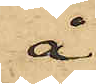å
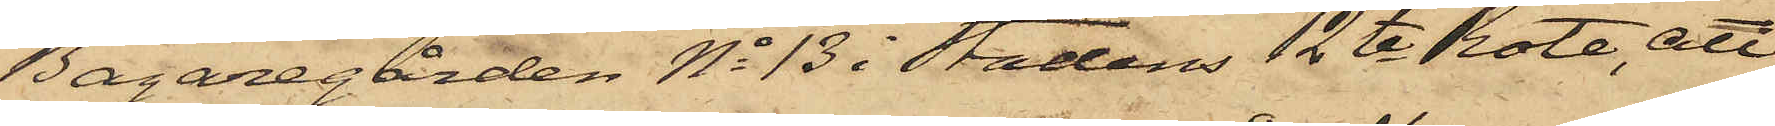Bagaregården No 13 i stadens 12te Rote, att
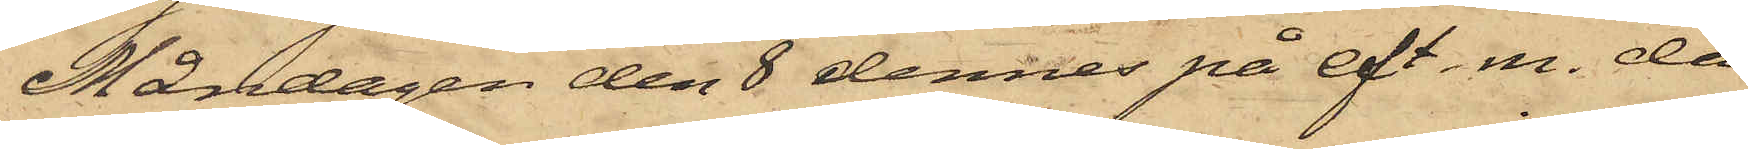Måndagen den 8 dennes på eft. m. då
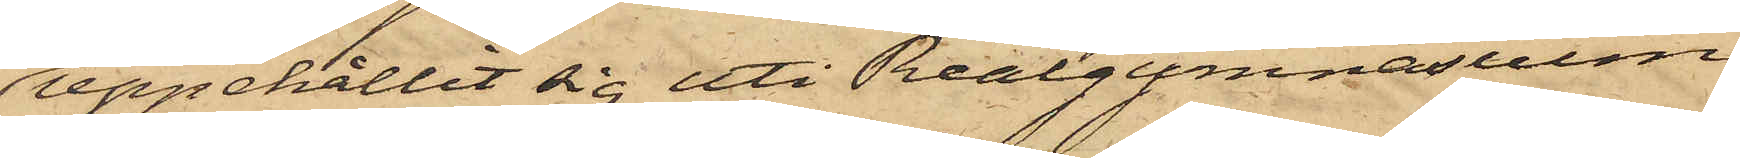uppehållit sig uti Realgymnasium
